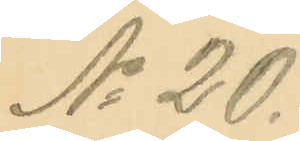No 20.
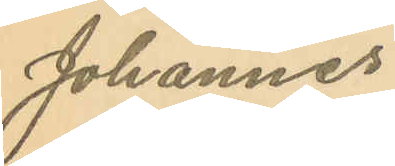Johannes
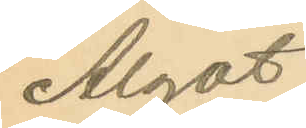Algot
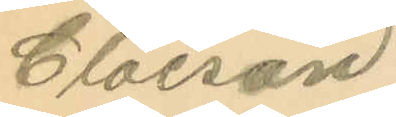Claeson.
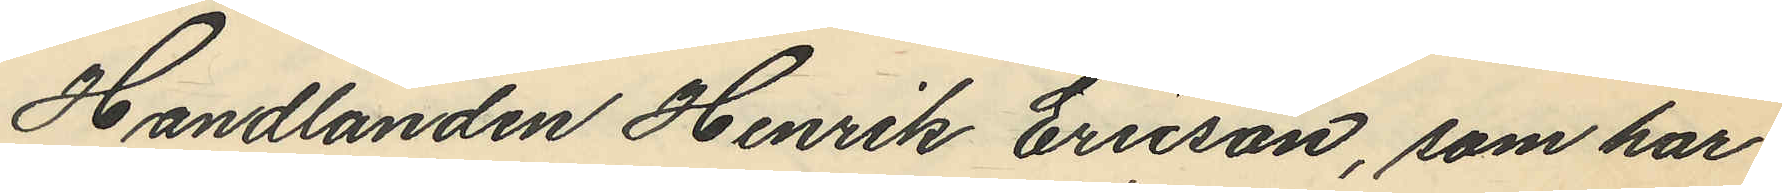Handlanden Henrik Ericson, som har
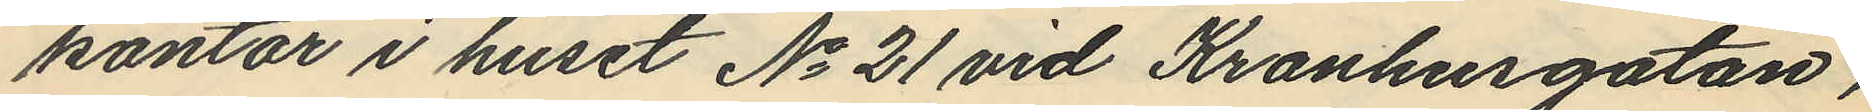kontor i huset No 21 vid Kronhusgatan,
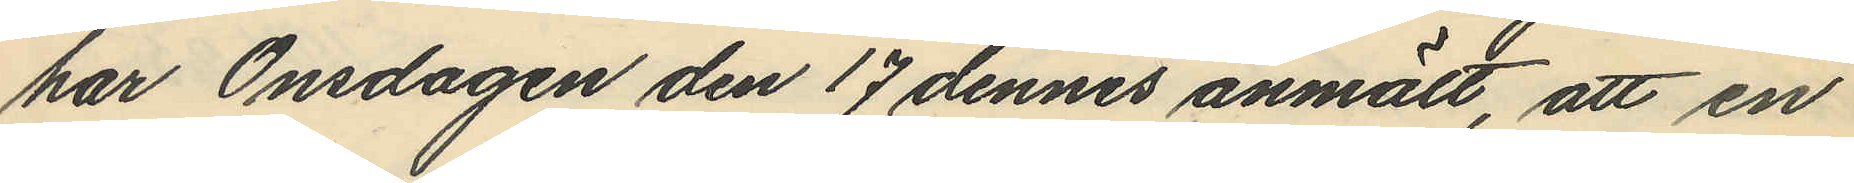har Onsdagen den 17 dennes anmält, att en
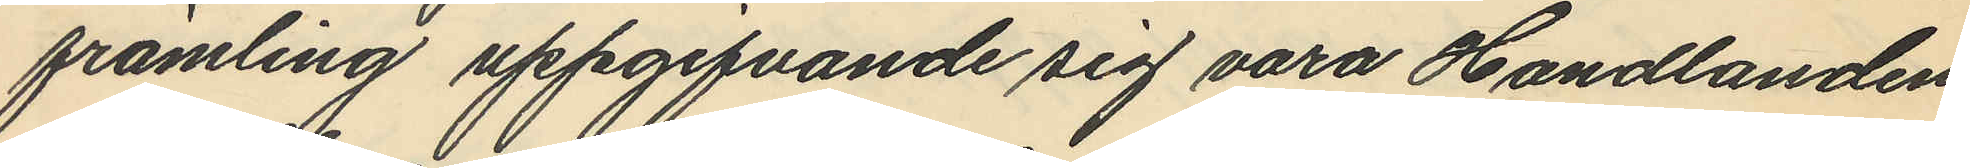främling uppgifvande sig vara Handlanden
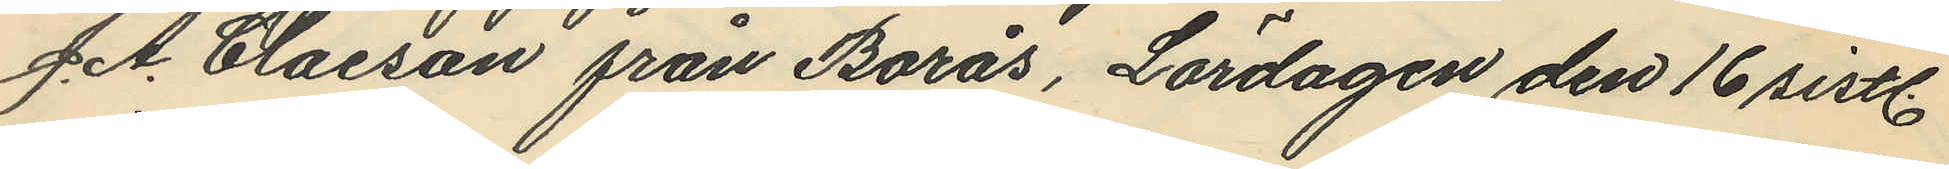J. A. Claeson från Borås, Lördagen den 16 sistl.
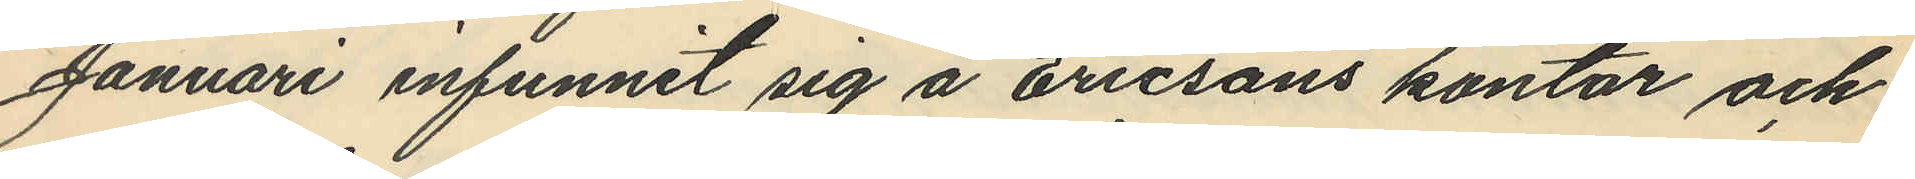Januari infunnit sig å Ericsons kontor och
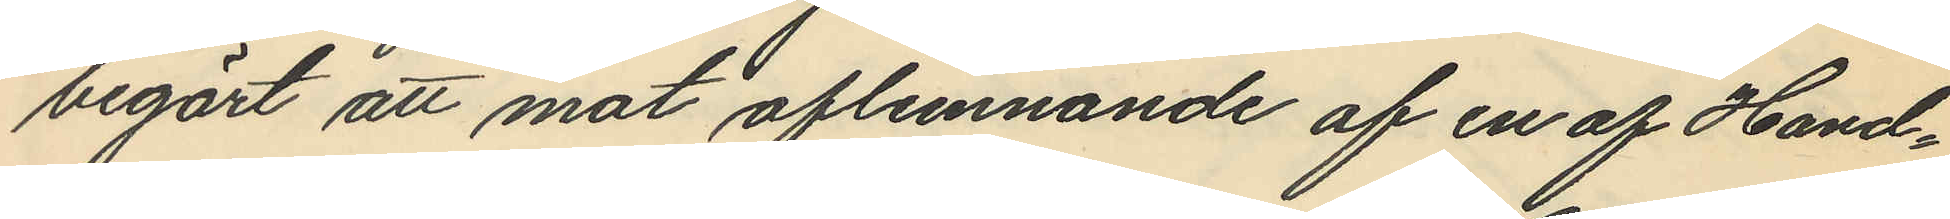begärt att mot aflemnande af en af Hand¬
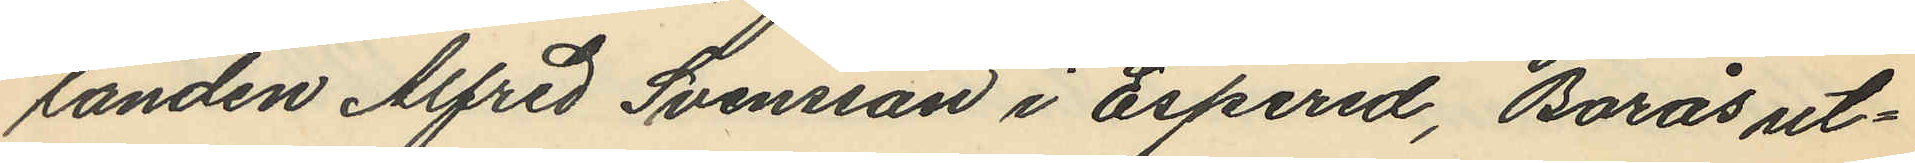landen Alfred Svensson i Espered, Borås ut¬
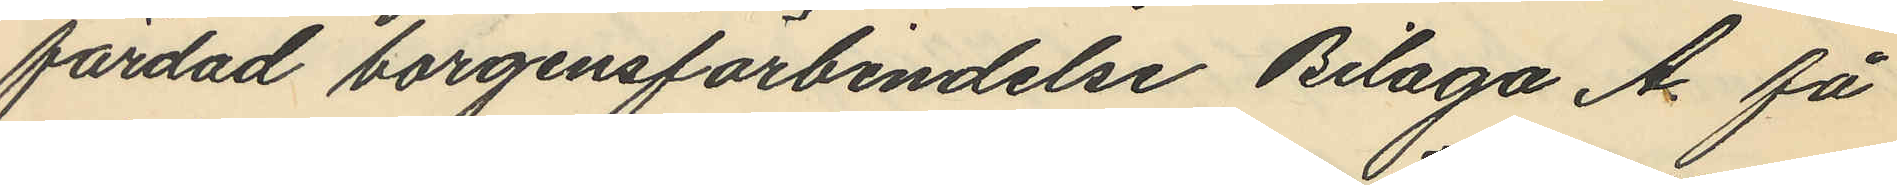färdad borgensförbindelse Bilaga A. få
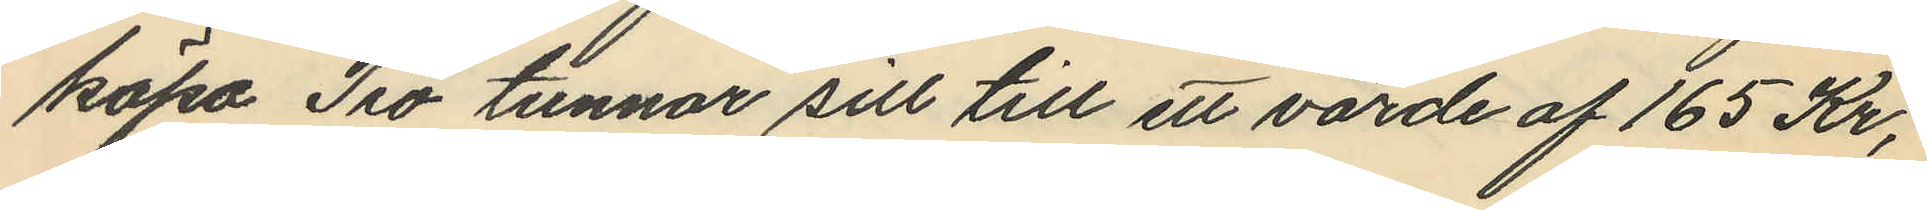köpa Tio tunnor sill till ett värde af 165 Kr,
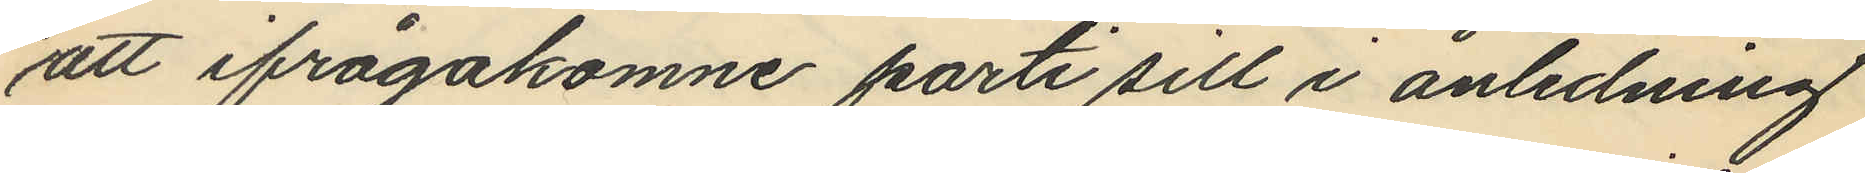att ifrågakomne parti sill i anledning
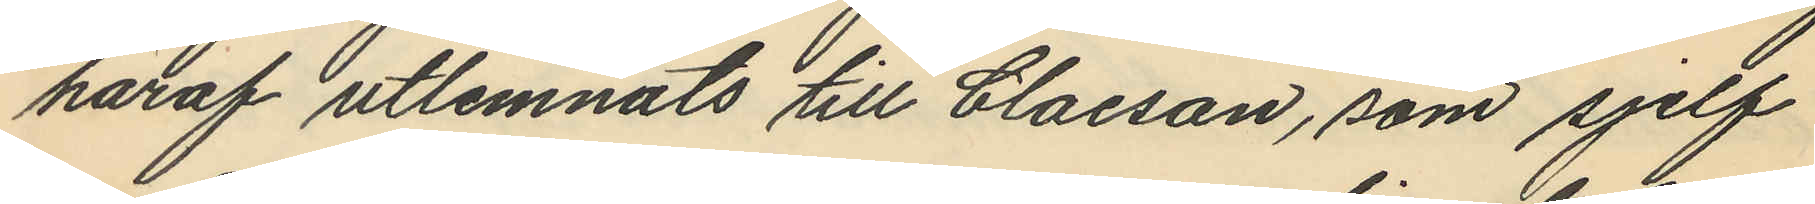häraf utlemnats till Claeson, som sjelf
